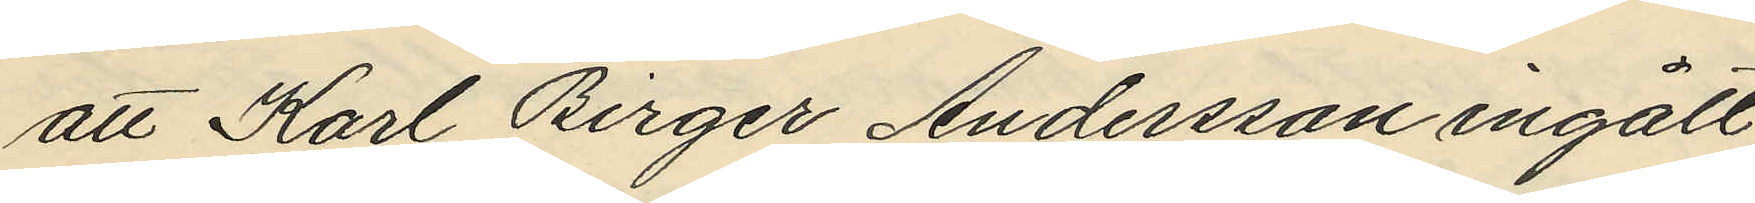att Karl Birger Andersson ingått
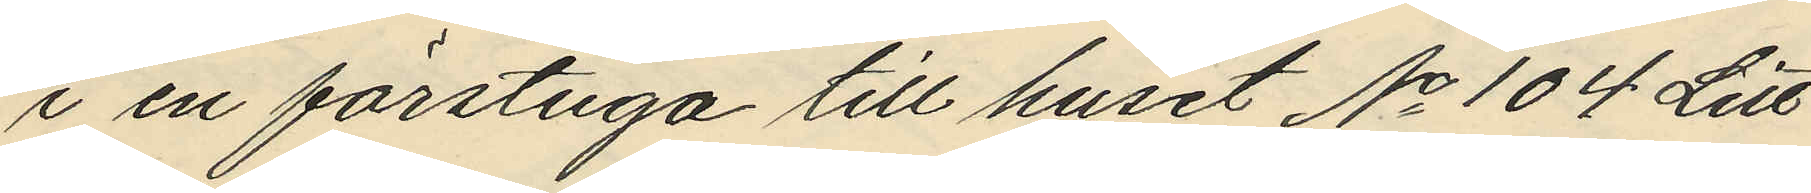i en förstuga till huset No 104 Litt:
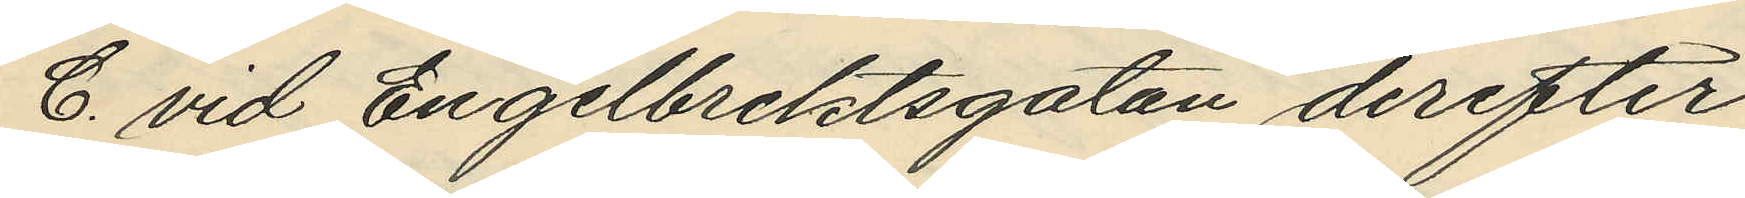C. vid Engelbrektsgatan derefter
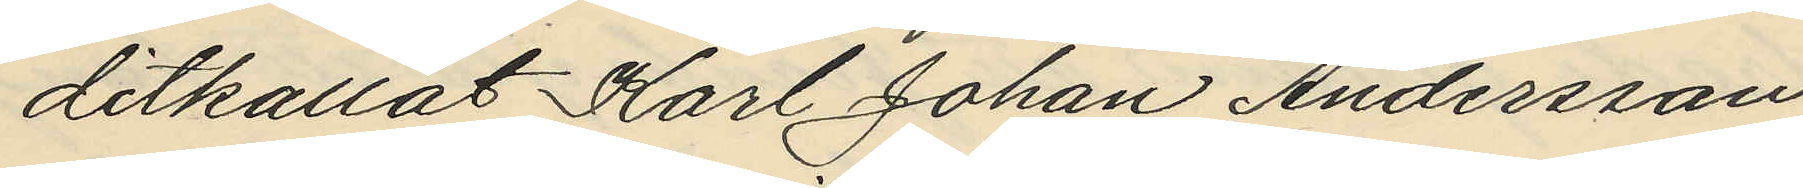ditkallat Karl Johan Andersson,
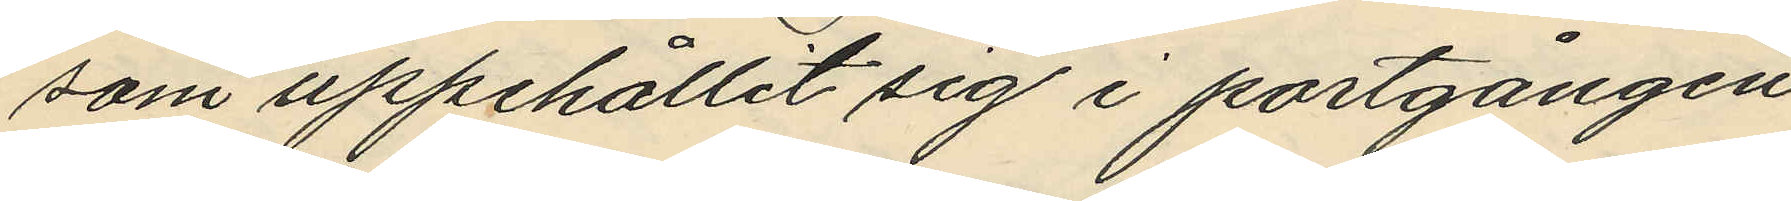som uppehållit sig i portgången
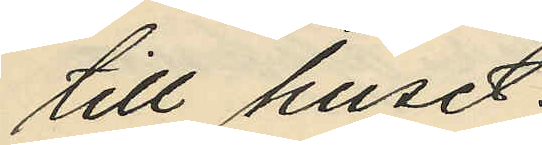till huset;
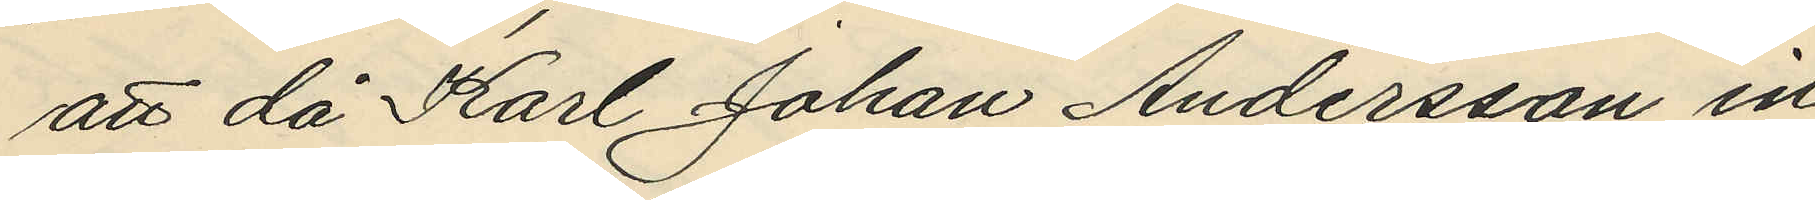att då Karl Johan Andersson in¬
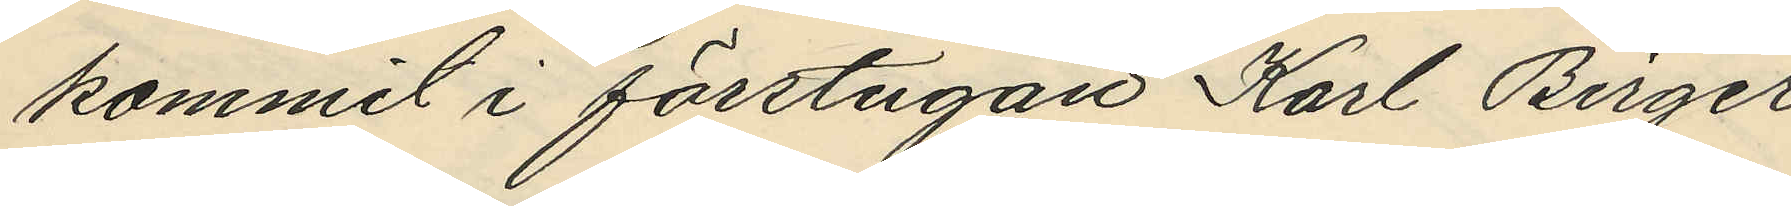kommit i förstugan Karl Birger
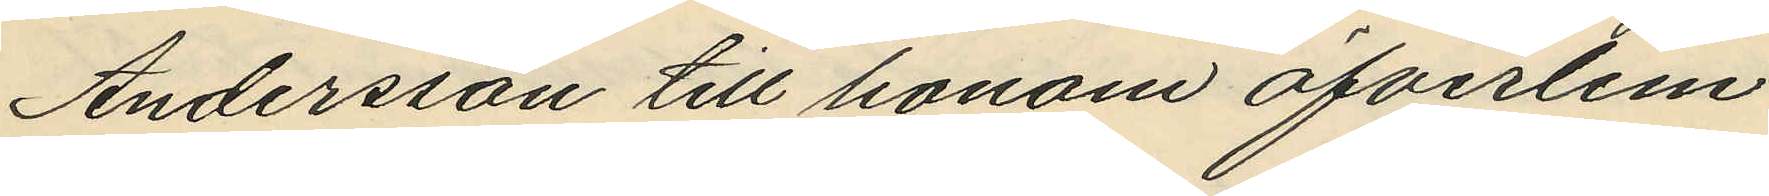Andersson till honom öfverlem¬
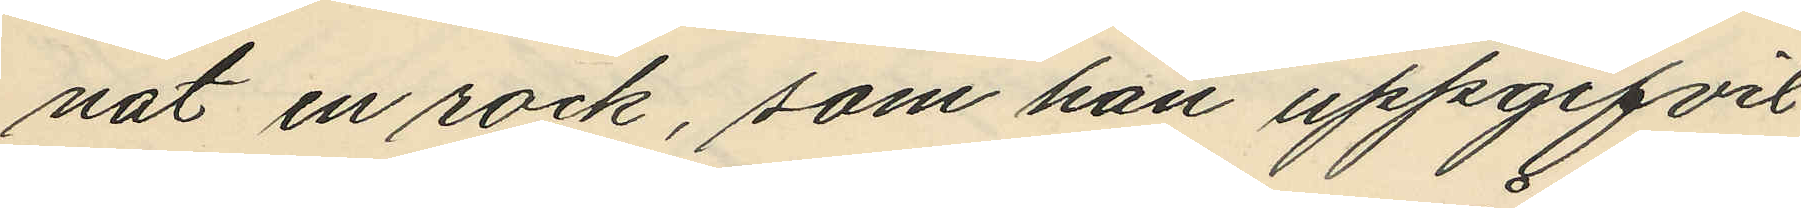nat en rock, som han uppgifvit
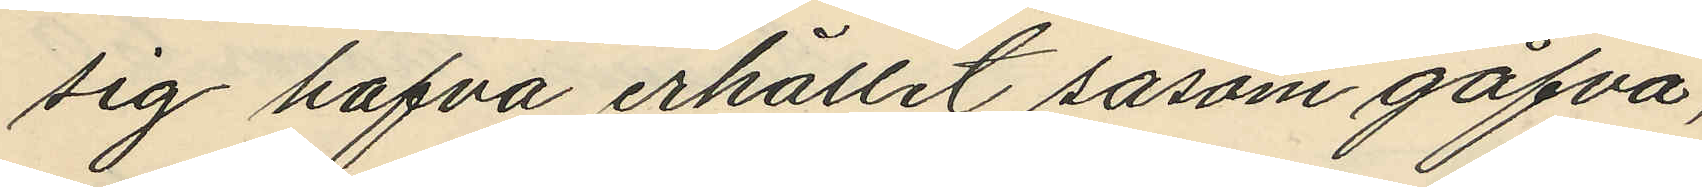sig hafva erhållit såsom gåfva;
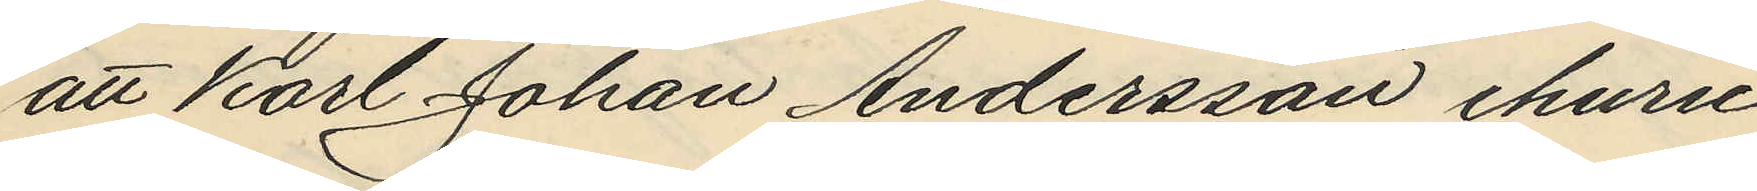att Karl Johan Andersson ehuru
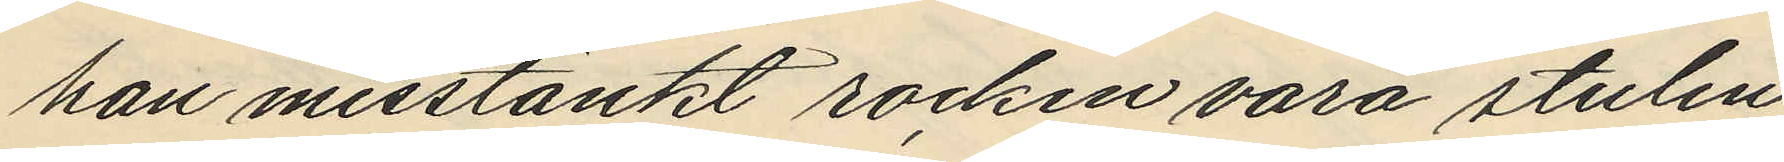han misstänkt rocken vara stulen
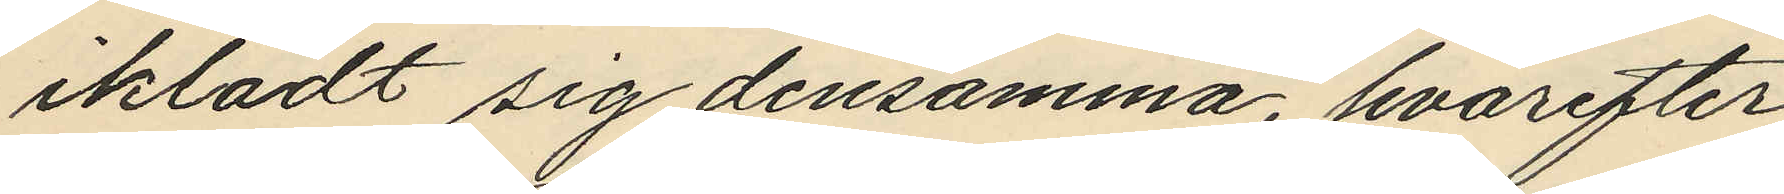iklädt sig densamma, hvarefter
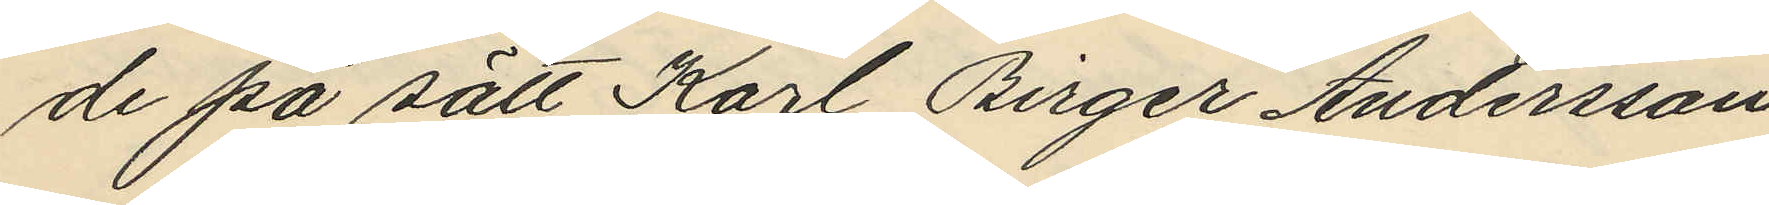de på sätt Karl Birger Andersson
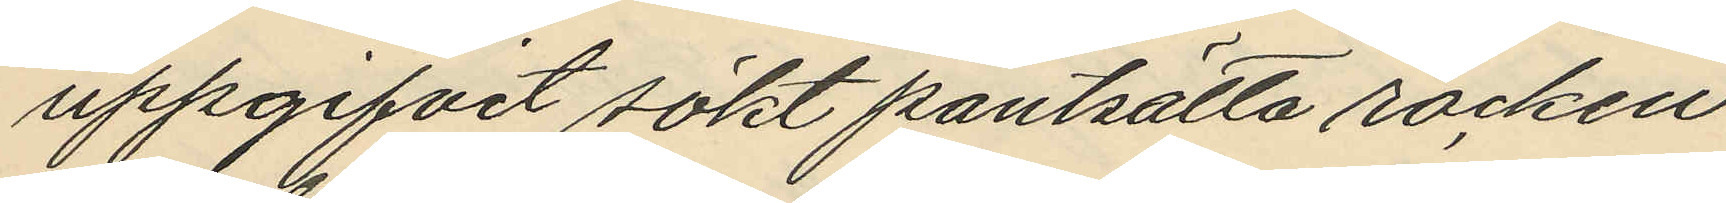uppgifvit sökt pantsätta rocken
